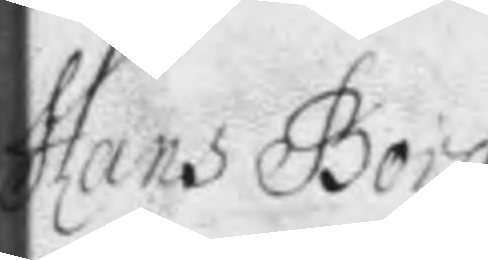Hans Borg
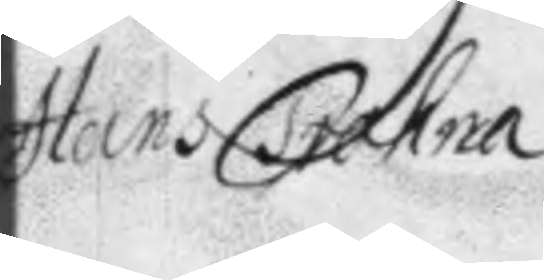Hans Trahna
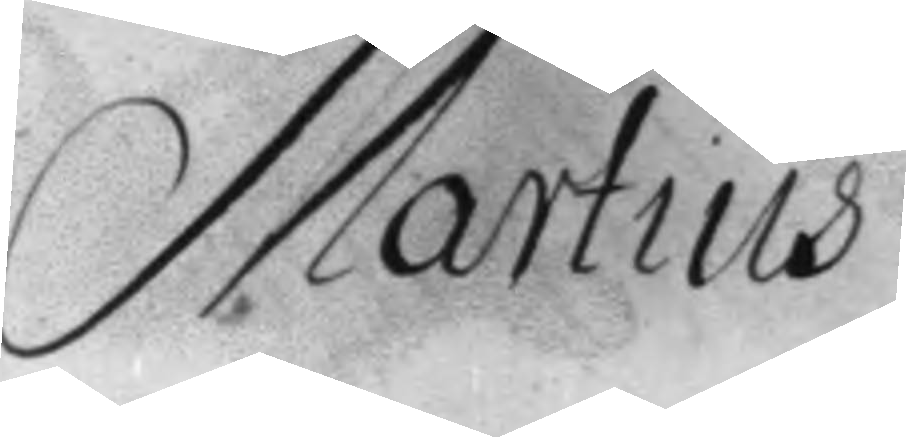Martius
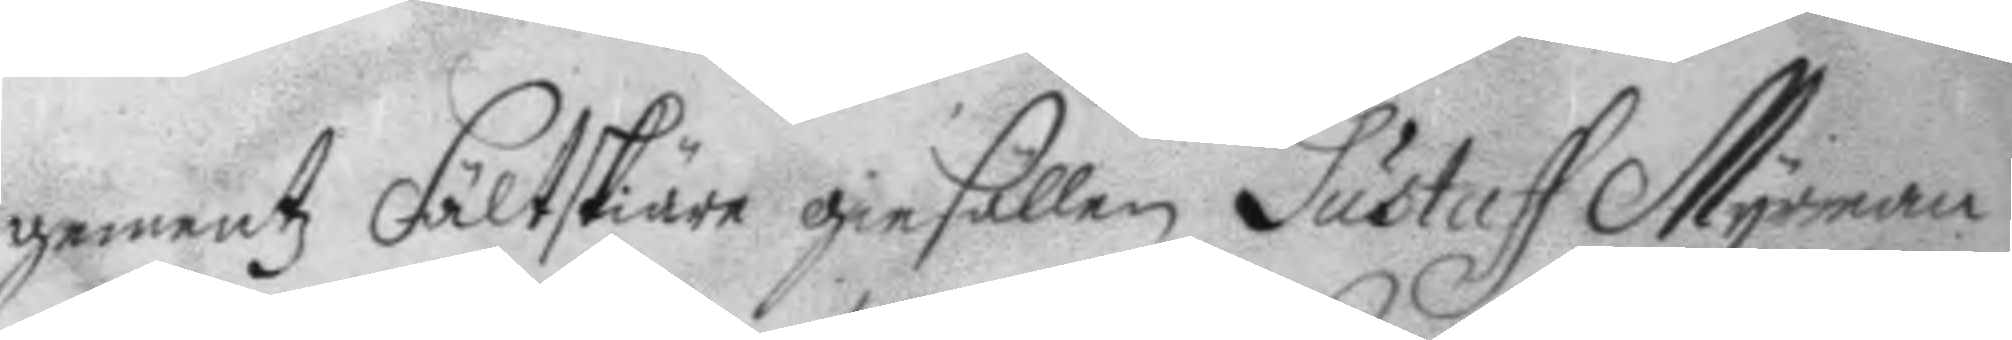gementz Fältskiäre giesällen Gustaff Myrman
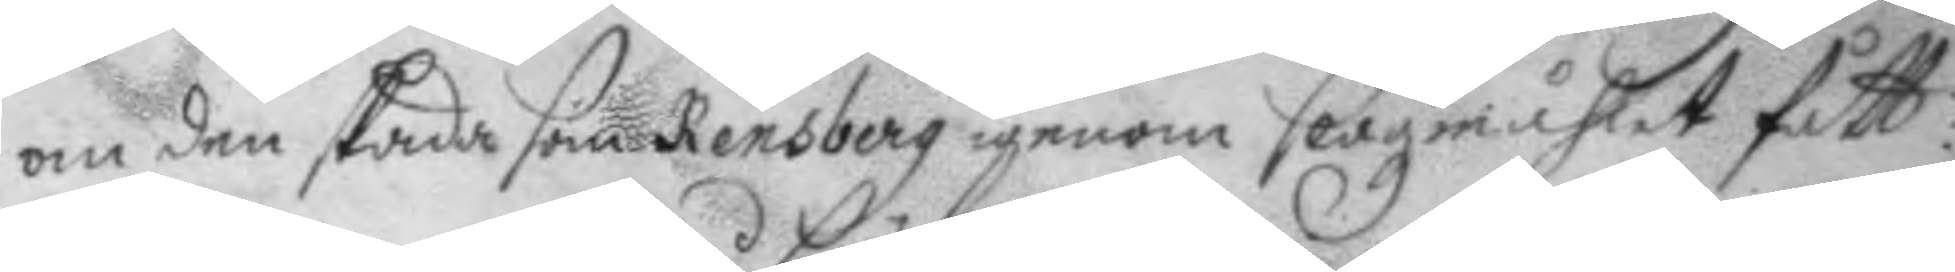om den skada som Rensberg igenom slagsmåhlet fått:
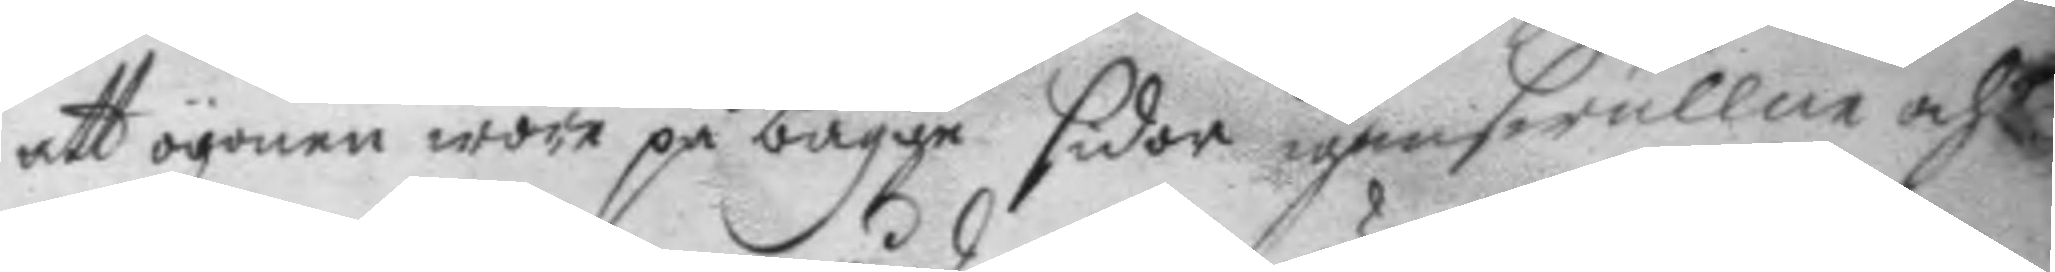att ögonen wore på bägge sidor igenswullne och
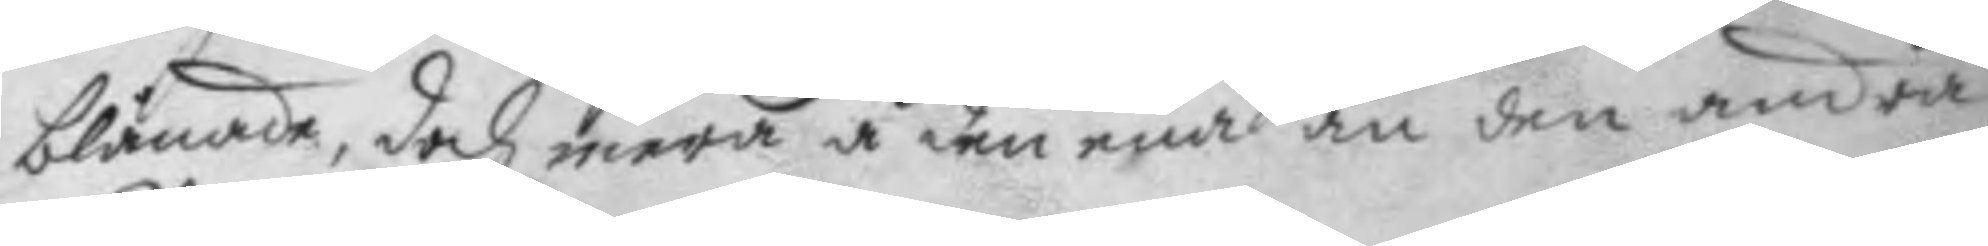blånader, doch mera å den ena än den andra
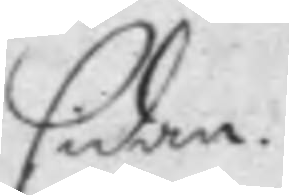sidan.
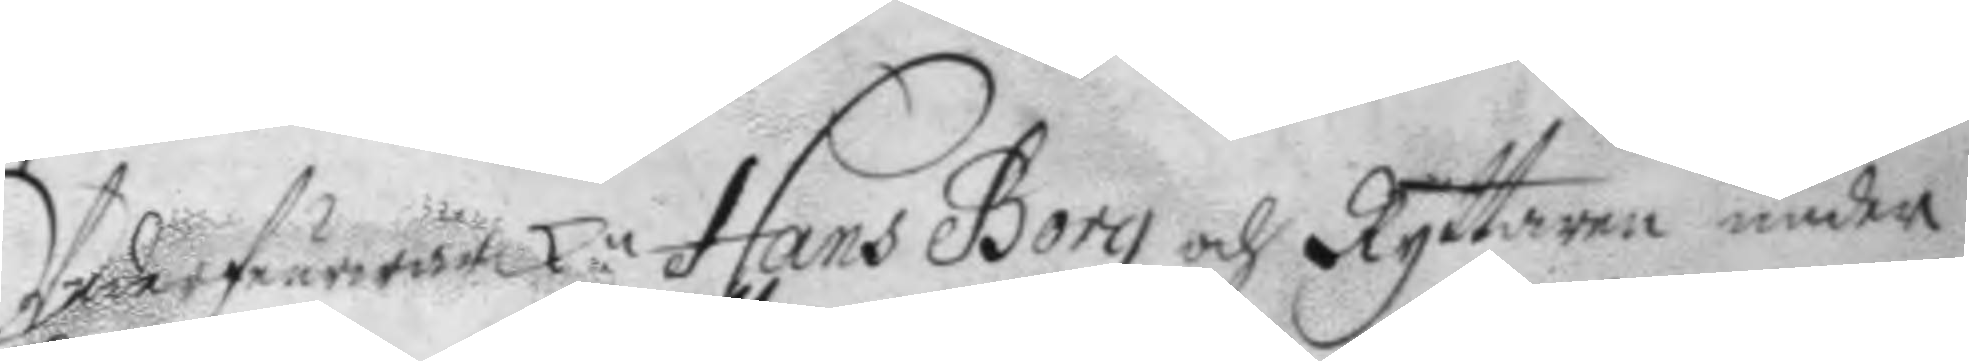Underfeurwärk.n Hans Borg och Ryttaren under
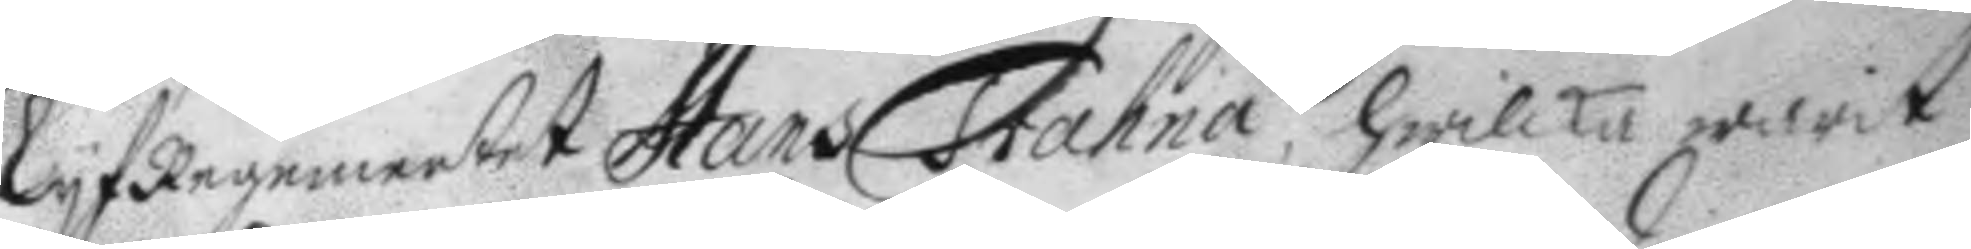Lyfregementet Hans Trahna, hwilka warit
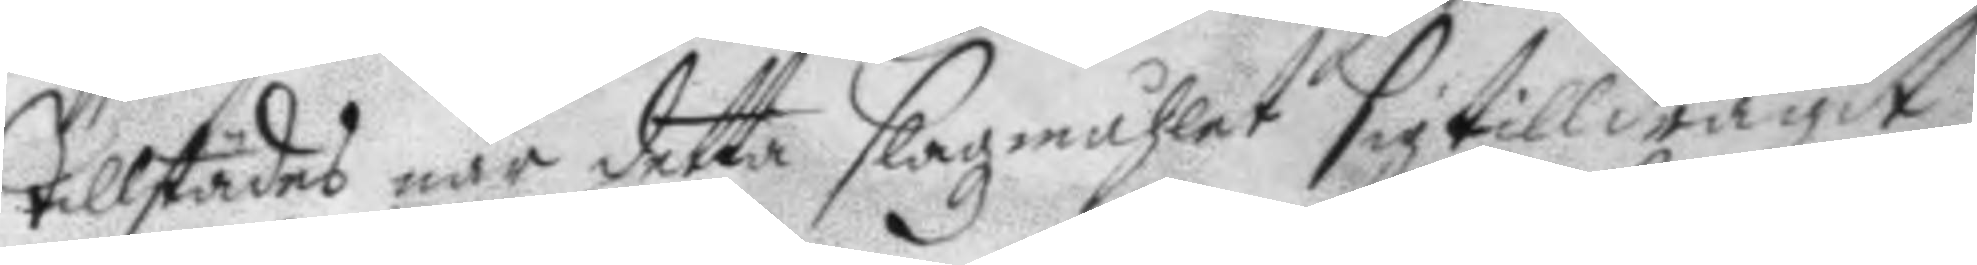tillstädes när detta slagzmåhlet sig tilldragit
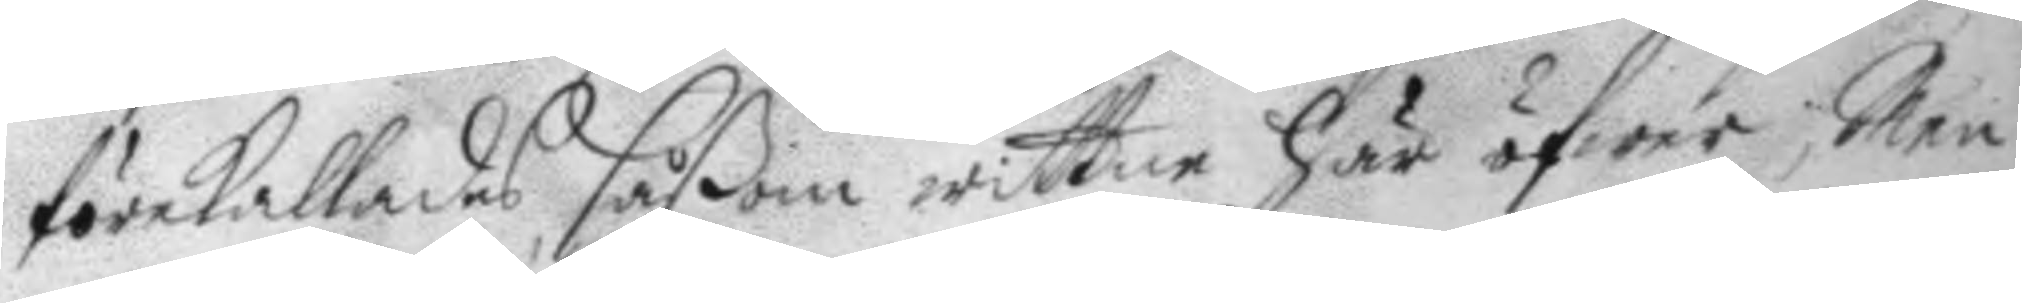förekallades såßom wittne här öfwer, Men
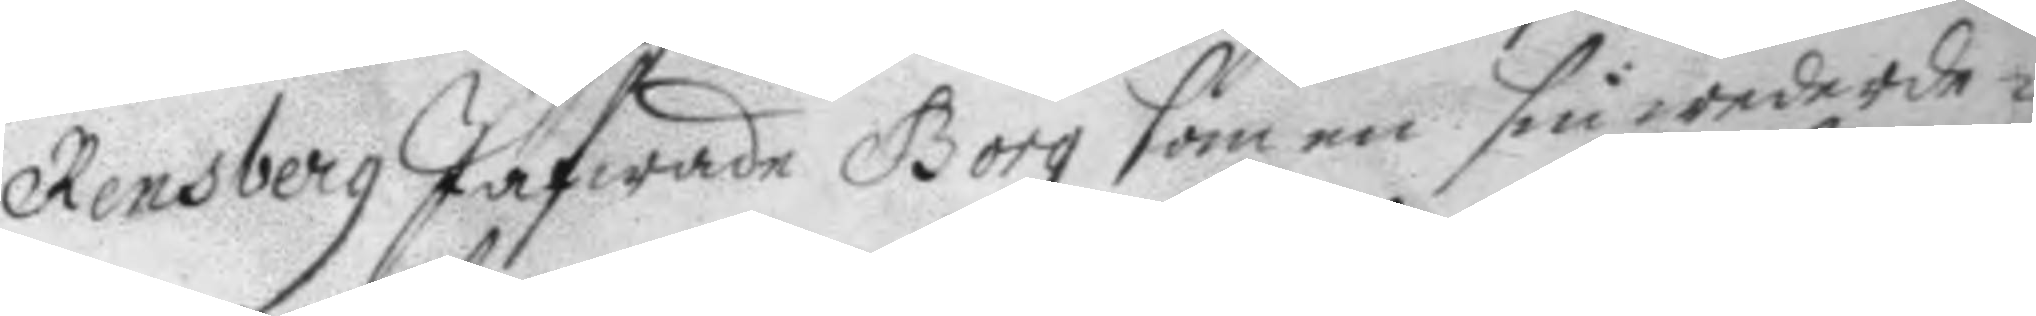Rensberg Jäfwade Borg som en sin wederde¬
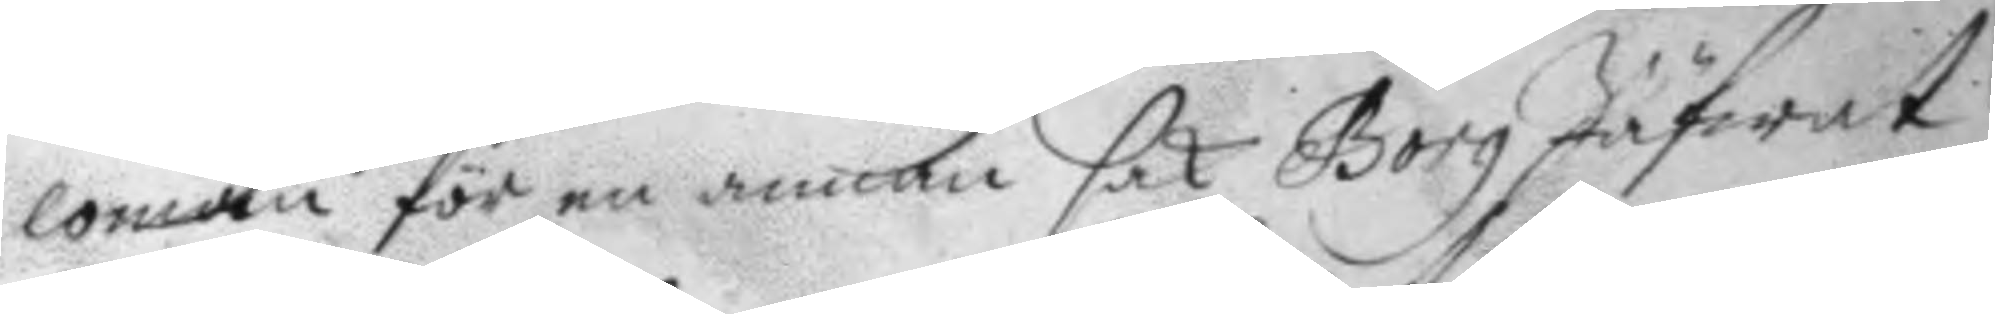loman för en annan sak Borg Jäfwat
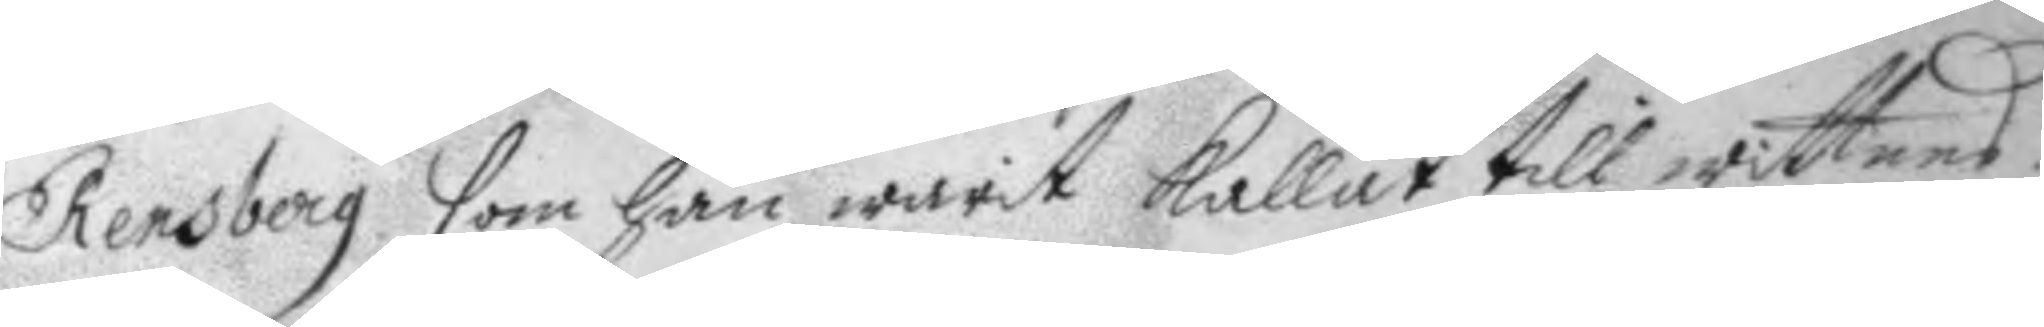Rensberg som han warit kallat till wittnes
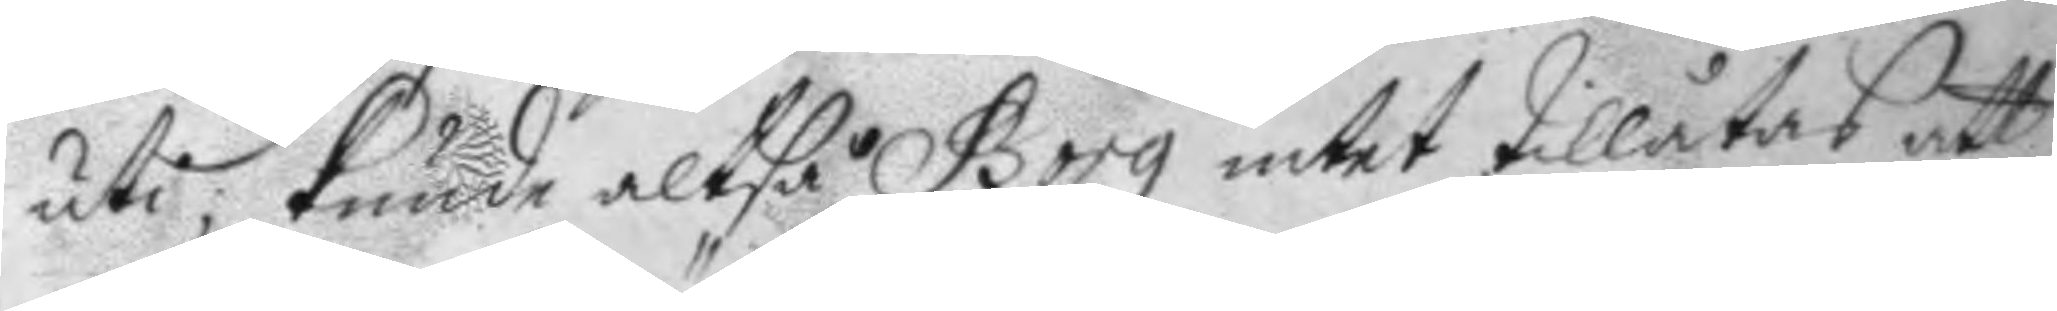uti; kunde altså Borg intet tillåtas att
